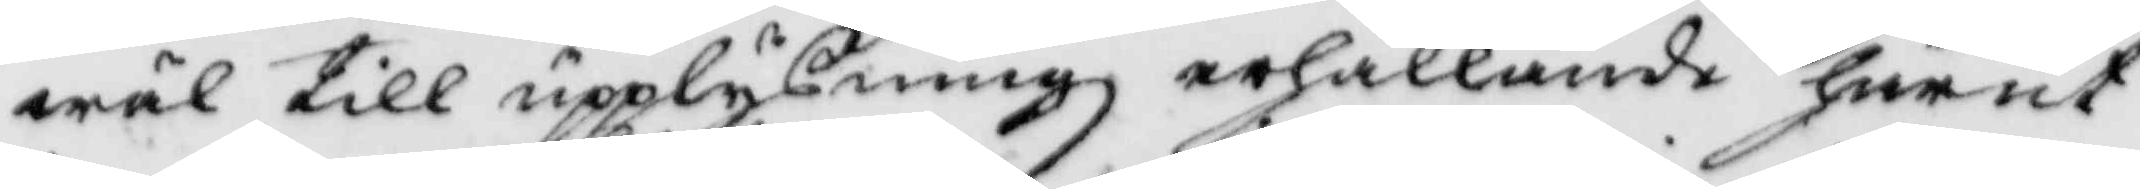wäl till upplysningz erhållande härut¬
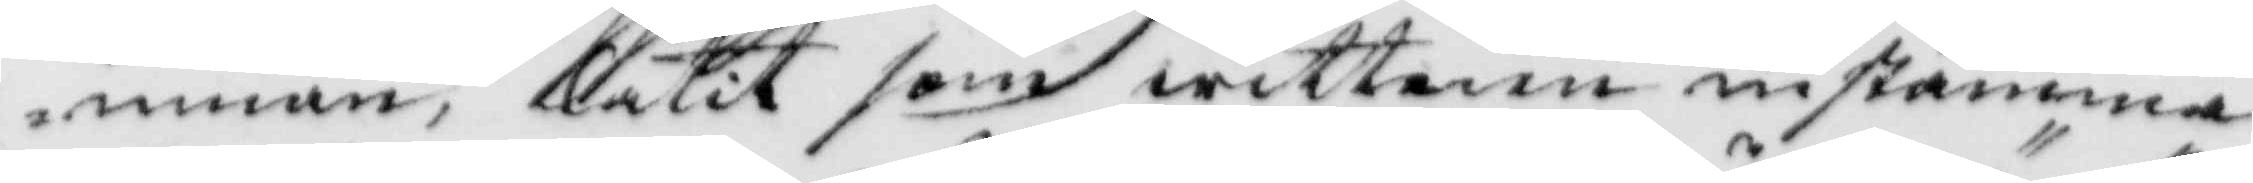innan, låtit som wittnen instämma
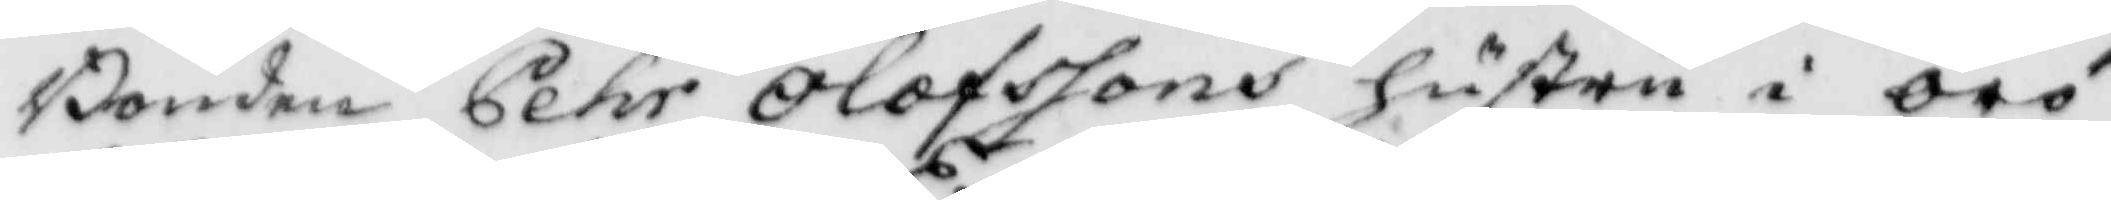Bonden Pehr Olofssons hustru i örö
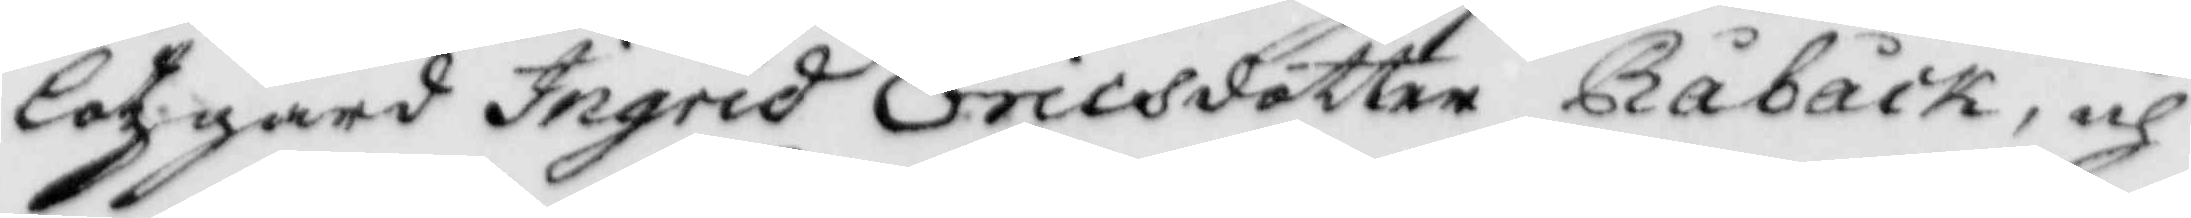lotzgård Ingrid Ericsdotter Råbäck, och
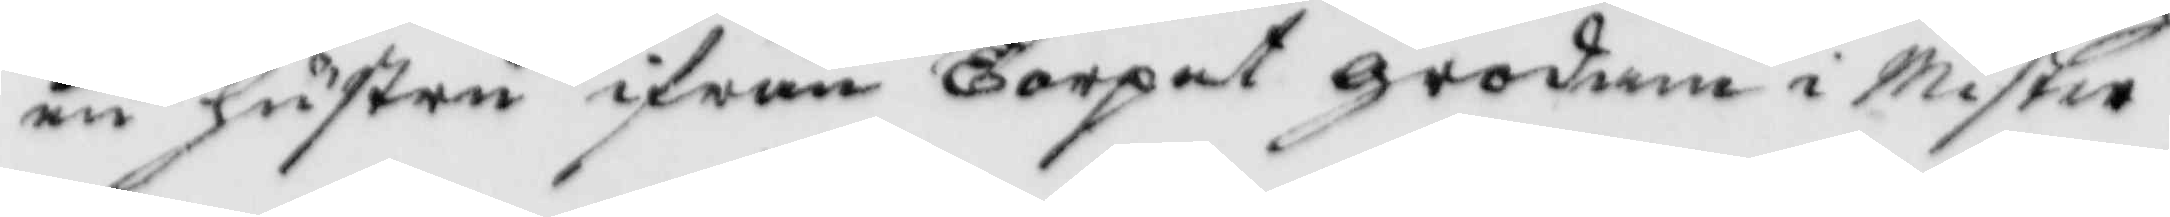en hustru ifrån Torpet grodam i Mister¬
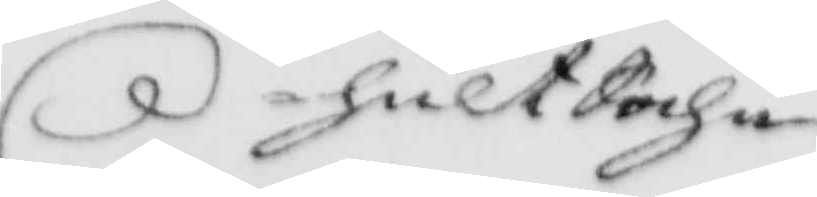hult Sochn
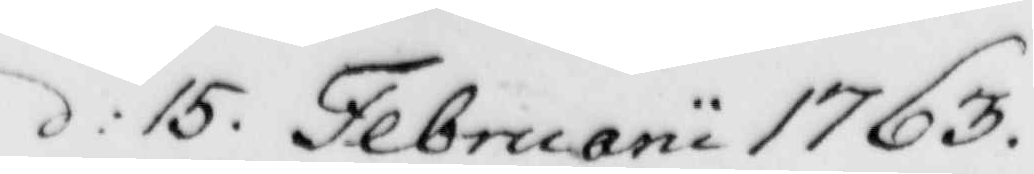d: 15. Februarii 1763.
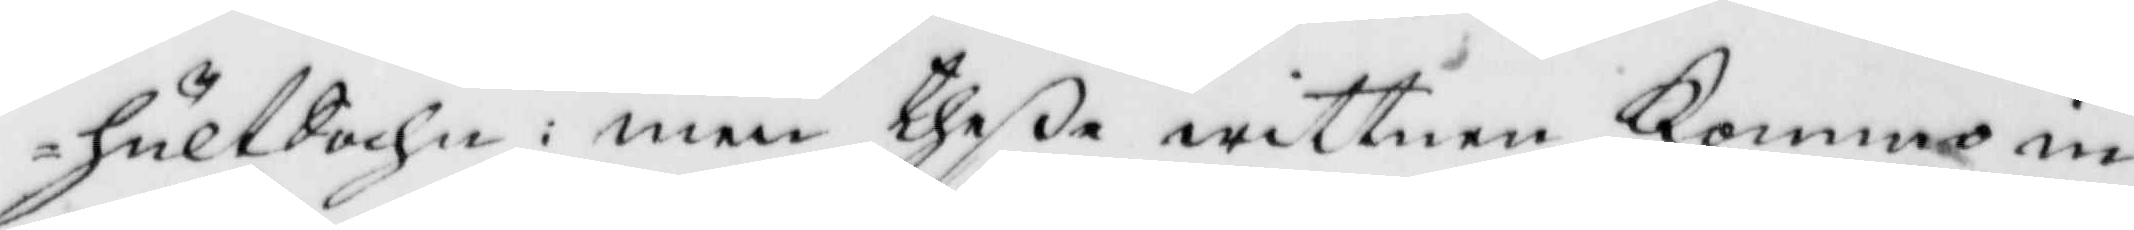hult Sochn: med theße wittnen Kommo in¬
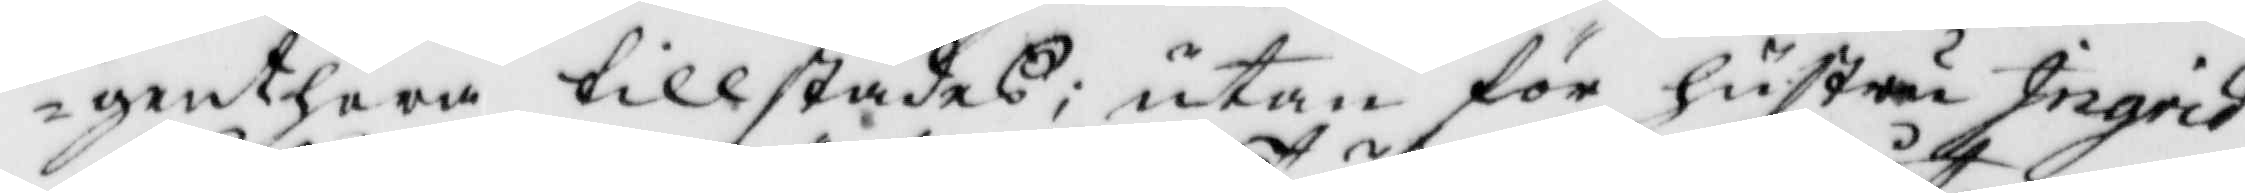genthera tillstädes; utan för hustru Ingrid
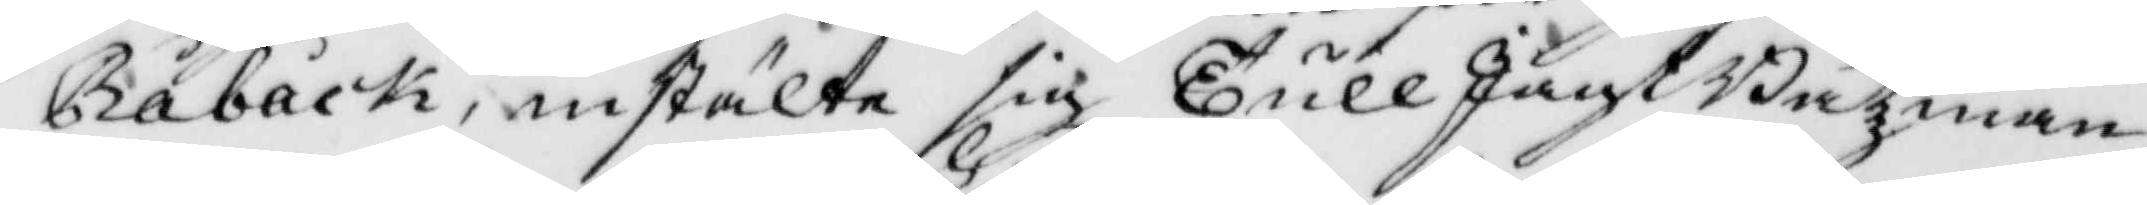Råbäck, instälte sig TullJagtBåtzman¬
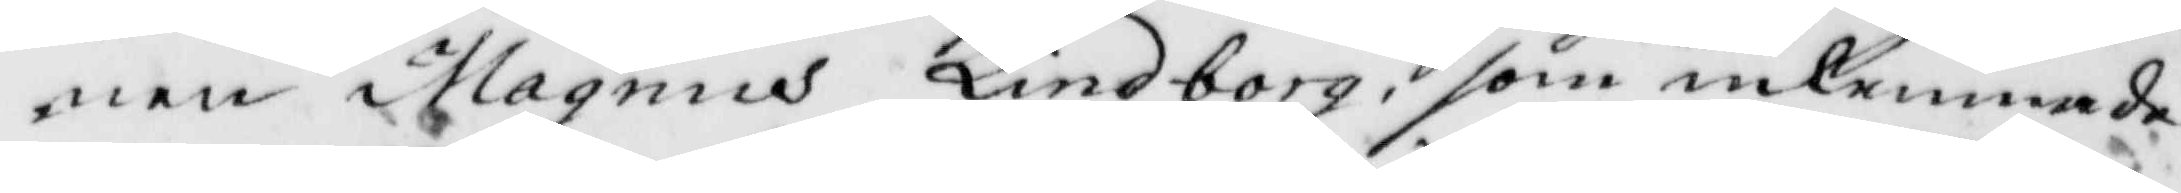nen Magnus Lindborg, som inlemndade
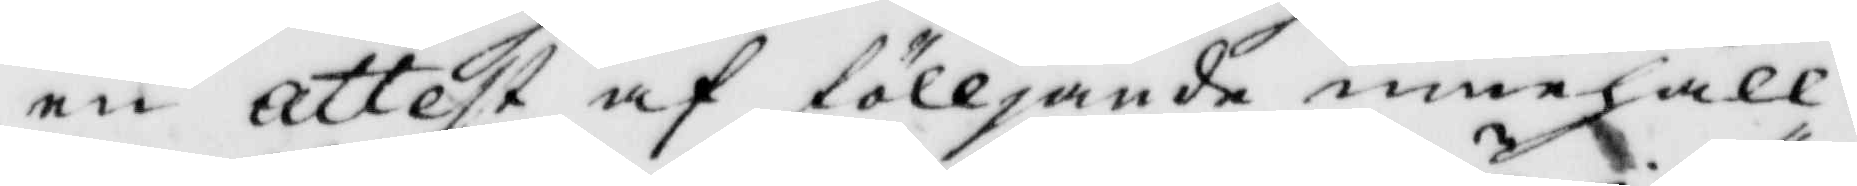en attest af fölljande innehåll:
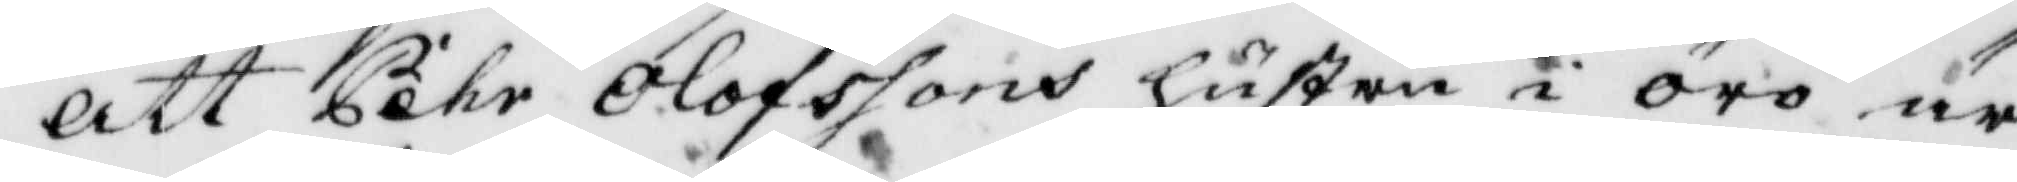Att Pehr Olofssons hustru i örö är
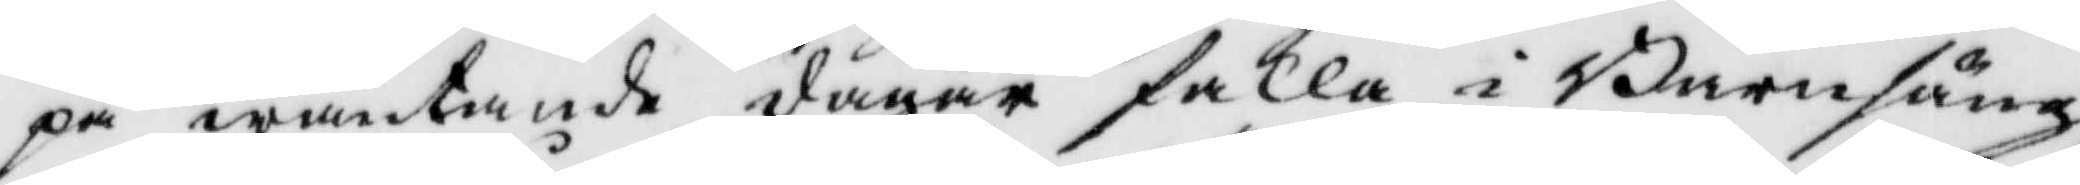på wäntande dagar falla i Barnsäng
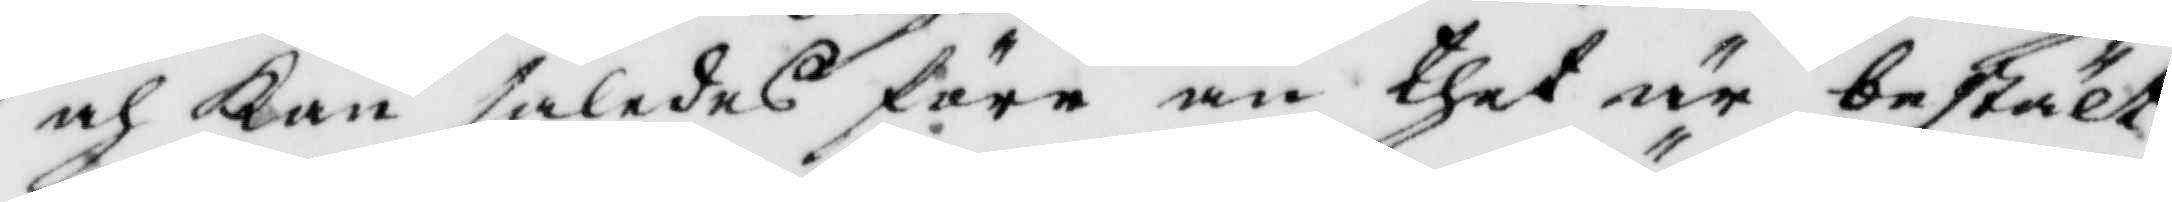och Kan således före än thet är bestält
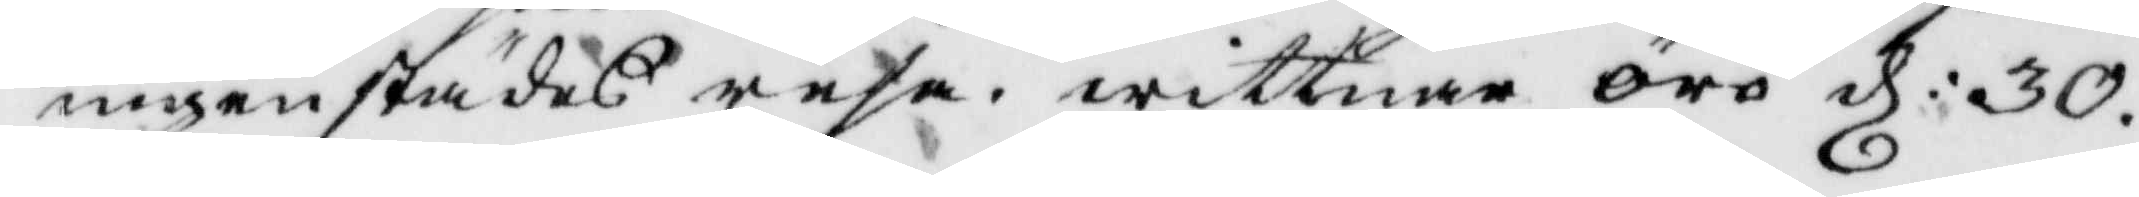ingenstädes resa. wittnar örö d: 30
